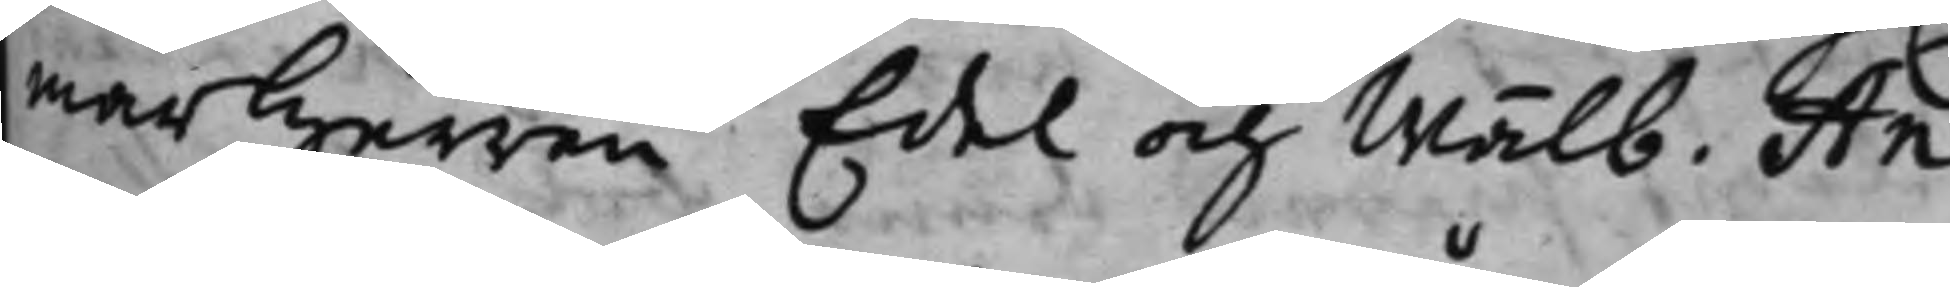marherren Edel och Wälb. An¬
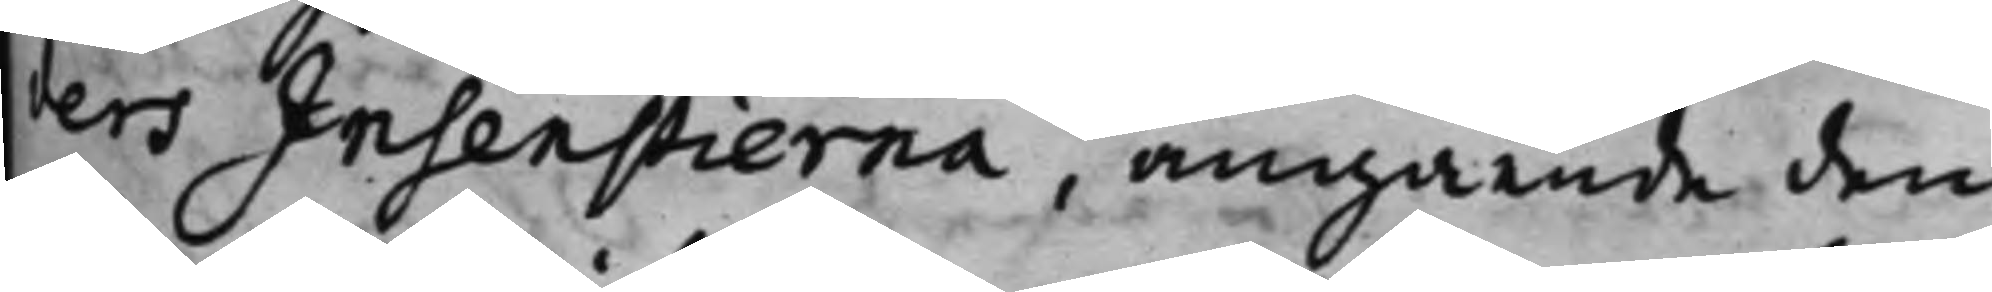ders Insenstierna, angående den
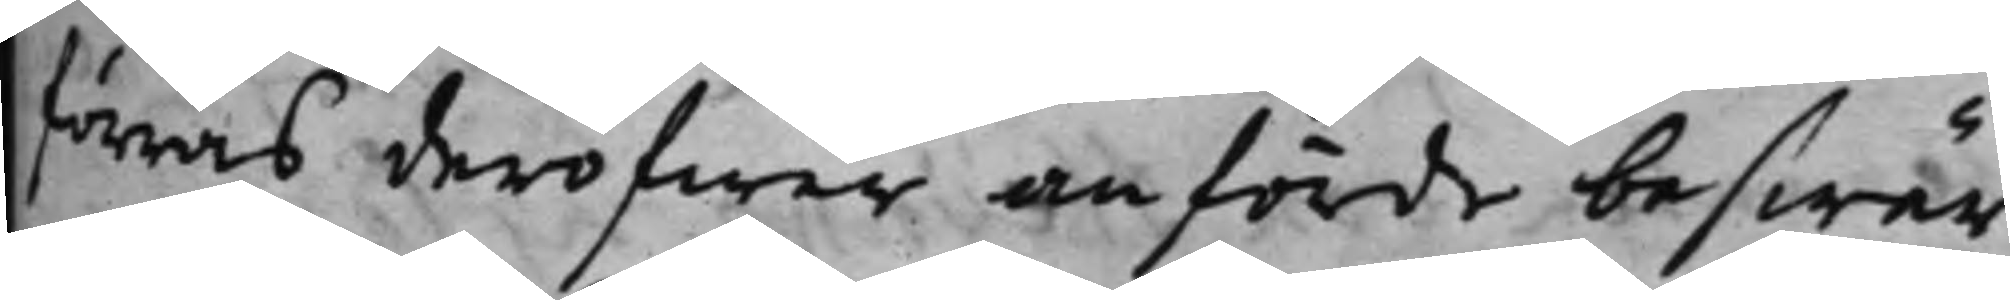förras deröfwer anförde beswär
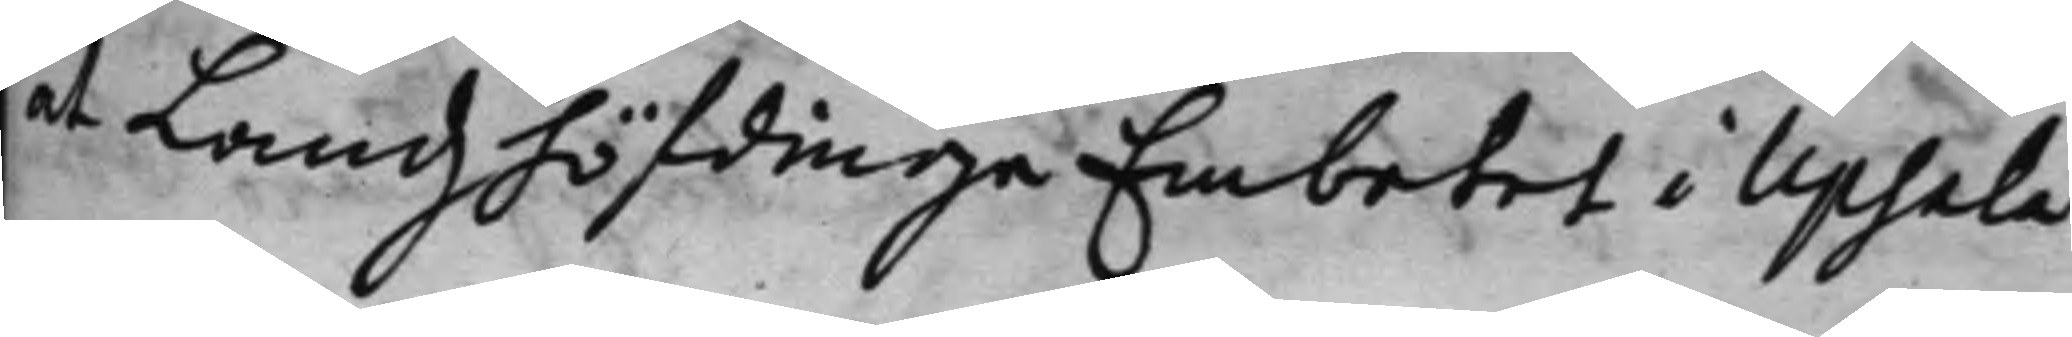at Landzhöfdinge Embetet i Upsala
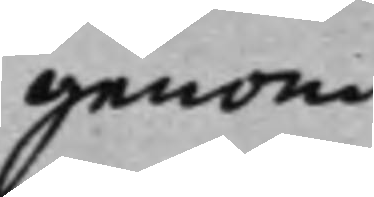genom
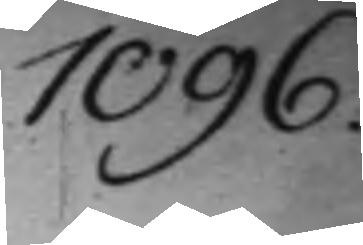1096.
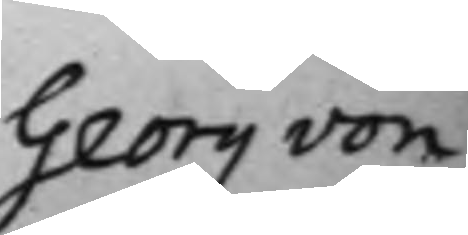Georg von
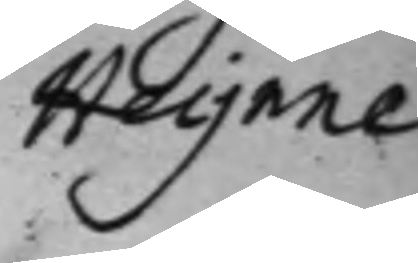Heijnne
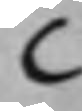C
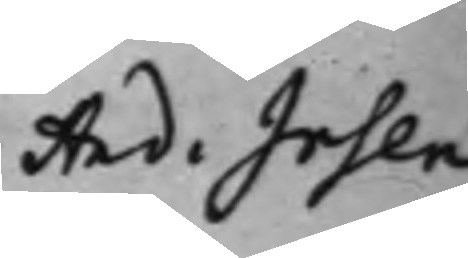And. Irsen¬
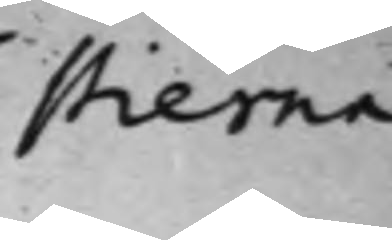stierna
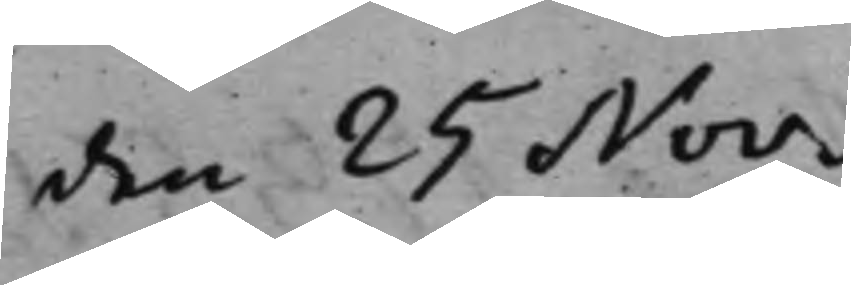den 25 Nov.
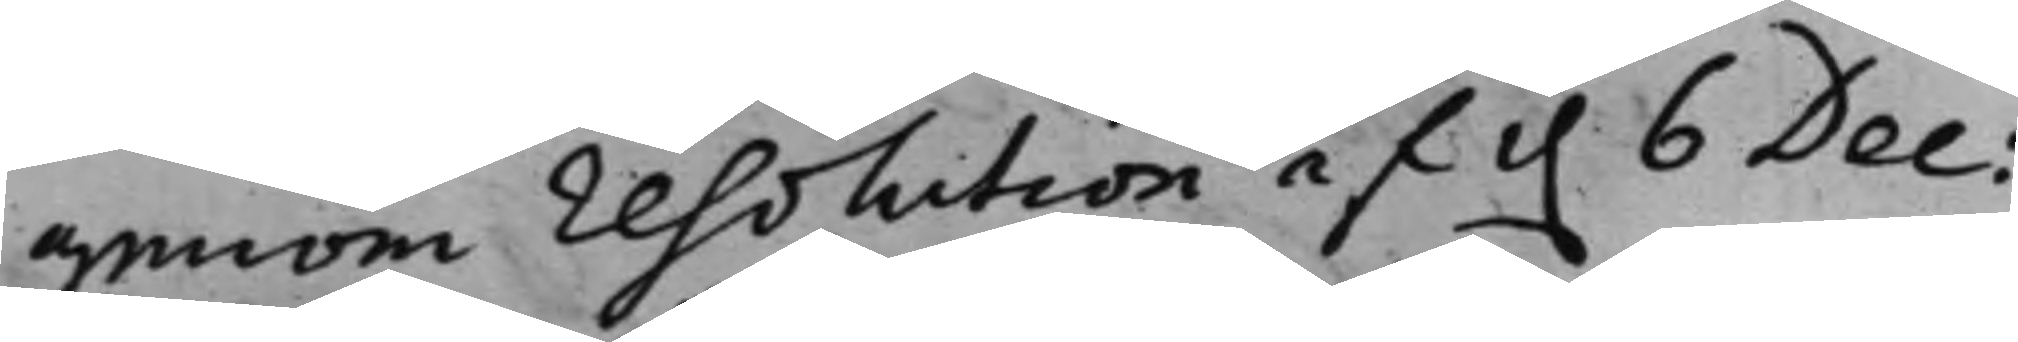genom resolution af d. 6 Dec:
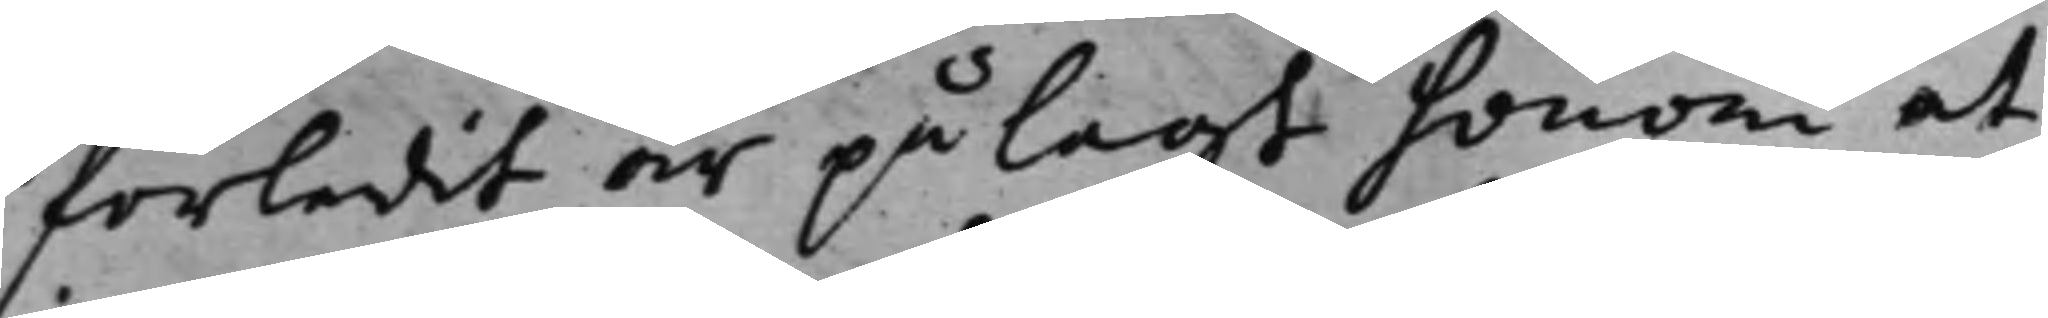förledit är pålagt honom at
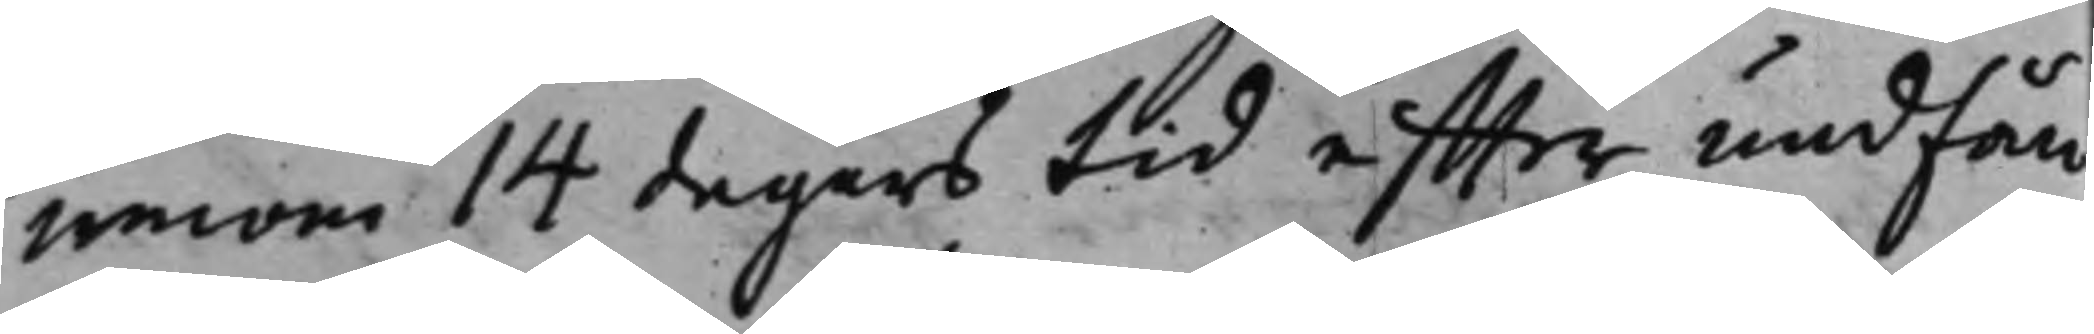innom 14 dagars tid effter undfån¬
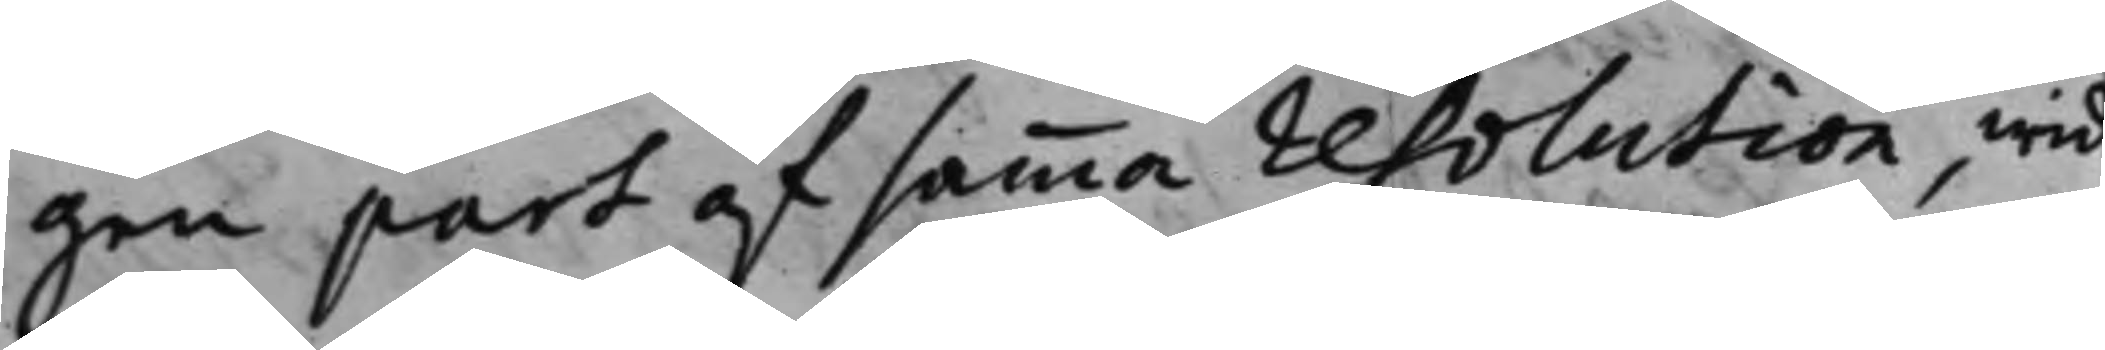gen part af samma resolution, wid
